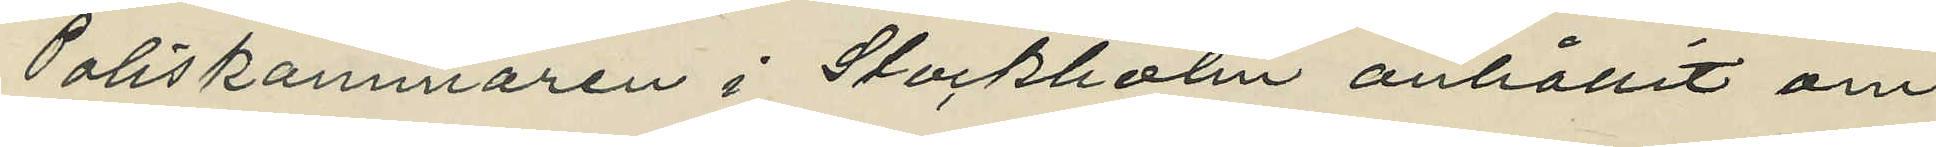Poliskammaren i Stockholm anhållit om
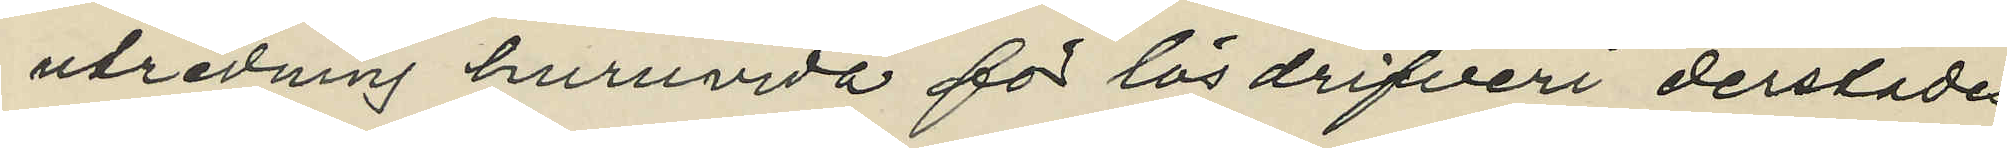utredning huruvida för lösdrifveri derstädes
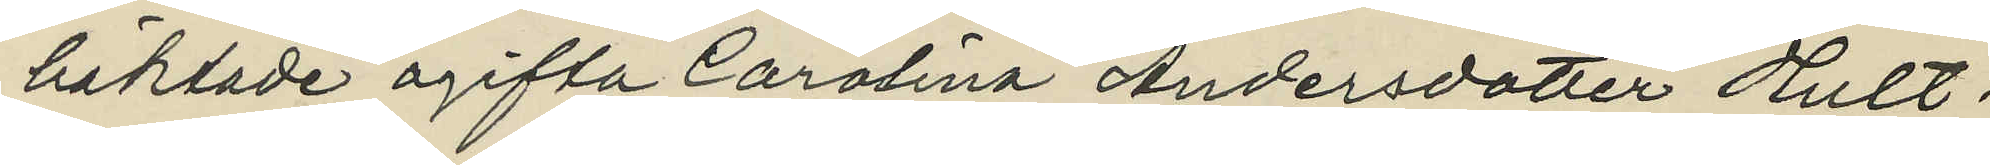häktade ogifta Carolina Andersdotter Hult¬
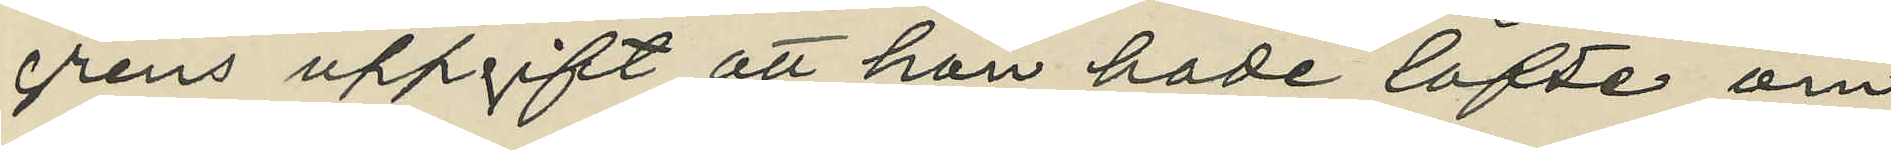grens uppgift, att hon hade löfte om
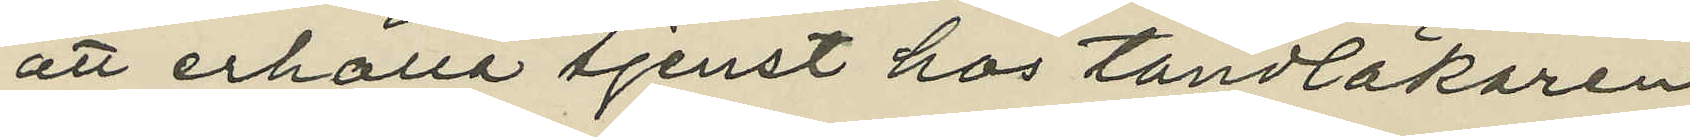tjenst  att erhålla tjenst hos tandläkaren
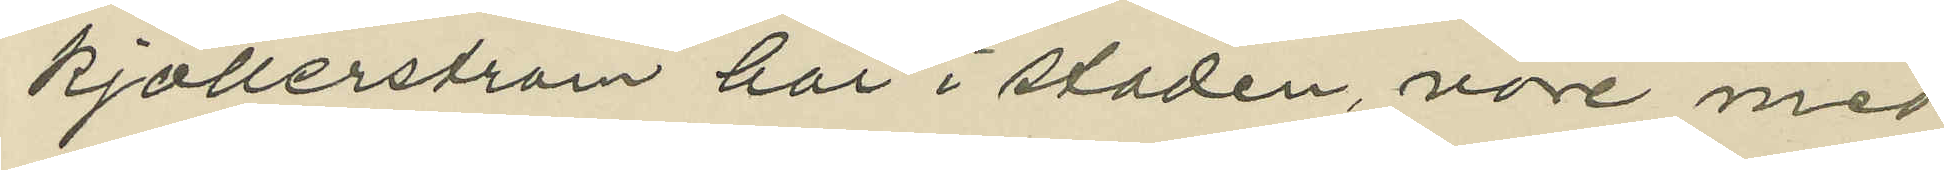Kjöllerström här i staden, vore med
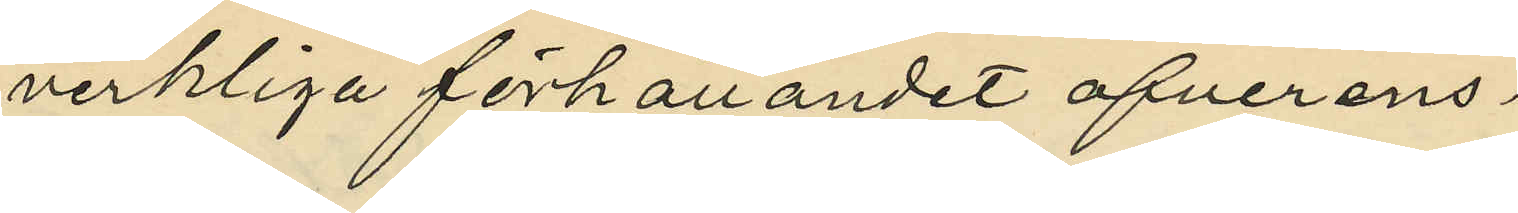verkliga förhållandet öfverens¬
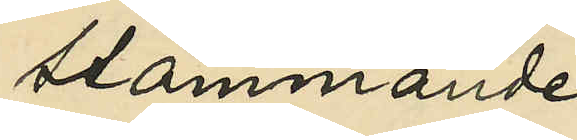stämmande.
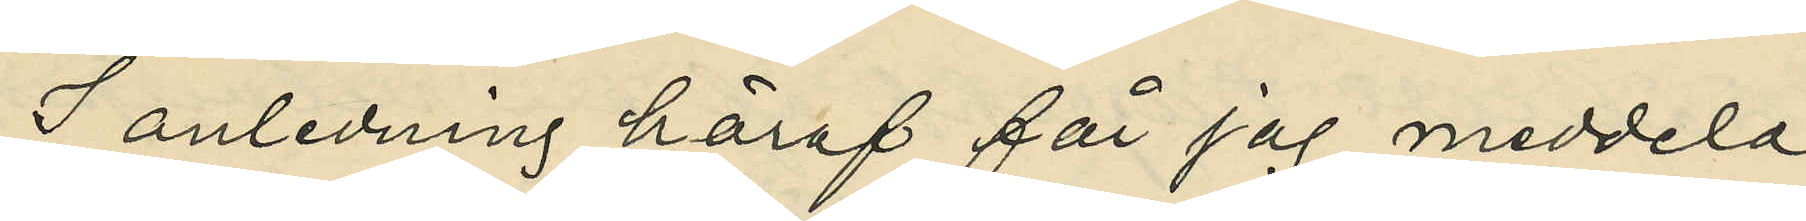I anledning häraf får jag meddela
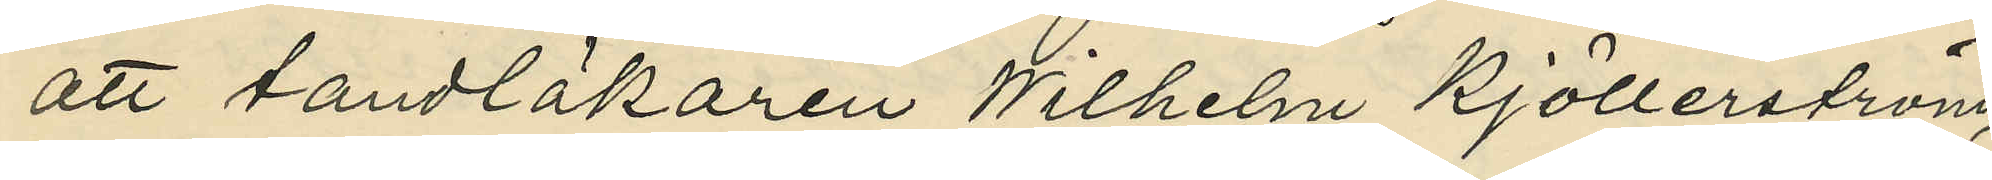att tandläkaren Wilhelm Kjöllerström,
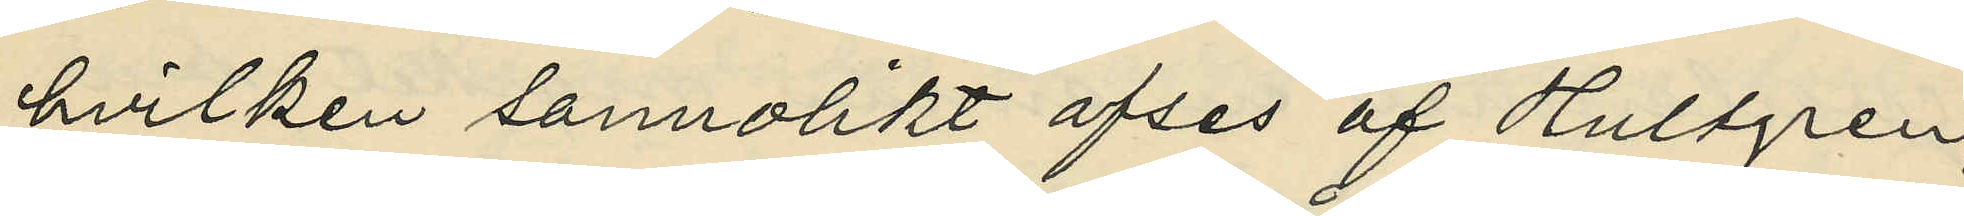hvilken sannolikt afses af Hultgren,
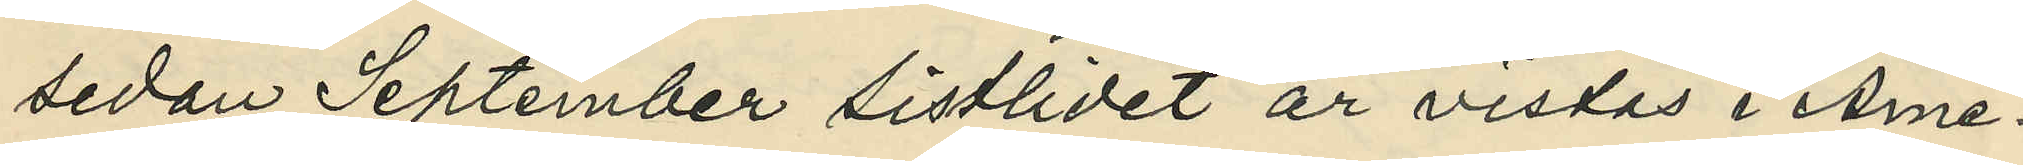sedan September sistlidet år vistas i Ame¬
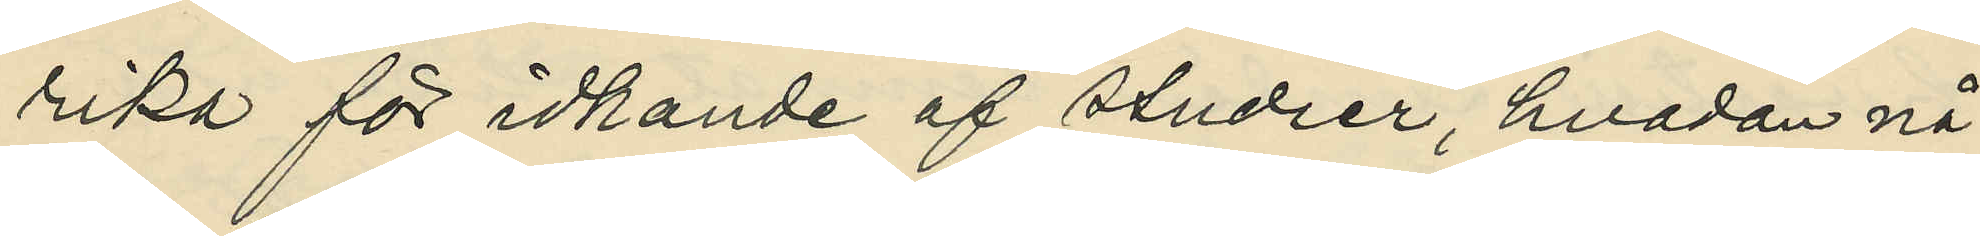rika för idkande af studier, hvadan nå¬
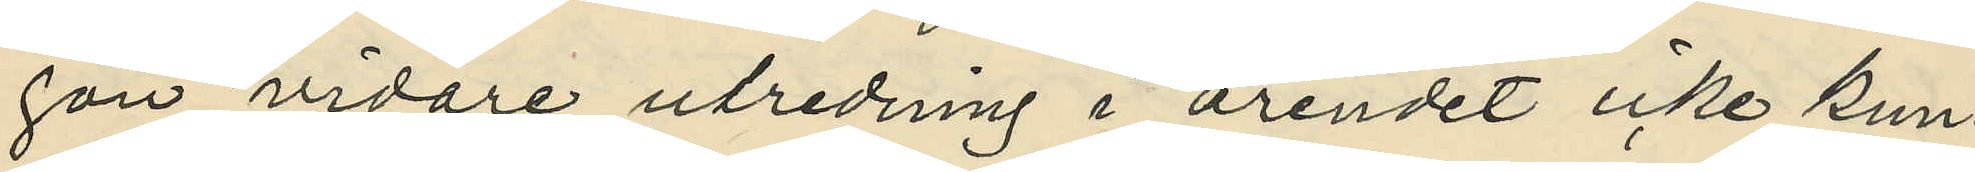gon vidare utredning i ärendet icke kun¬
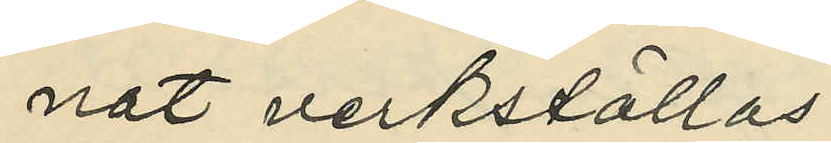nat verkställas.
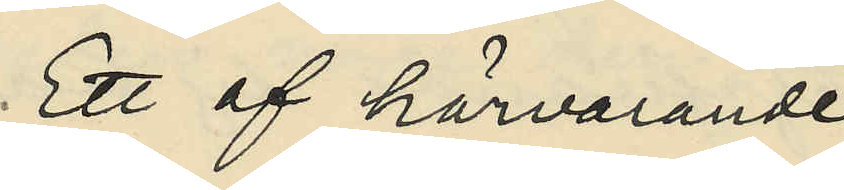Ett af härvarande
